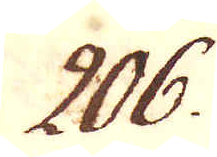206.
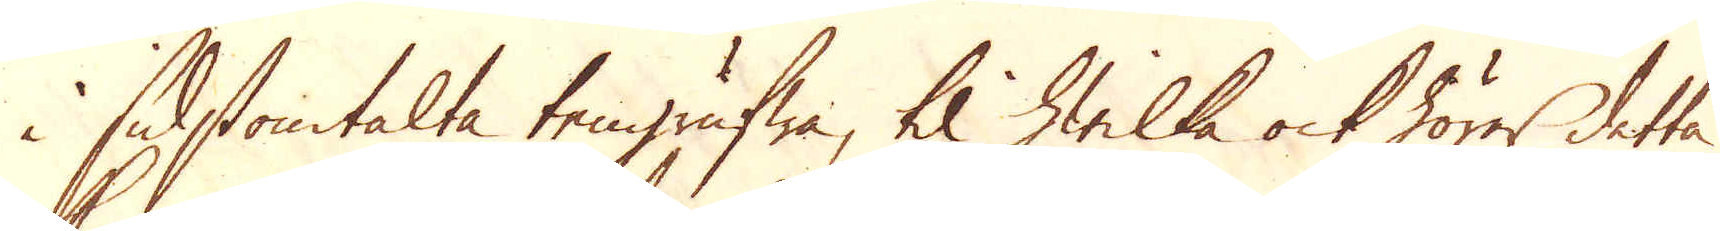i sidstomtalte tengrufwa, til hwilka ock hörer detta
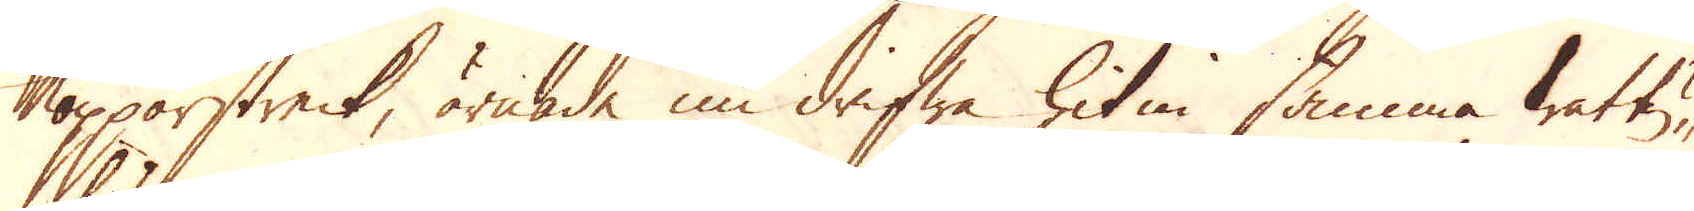Kopparstreck, ärnade nu drifwa hitin samma wattu-
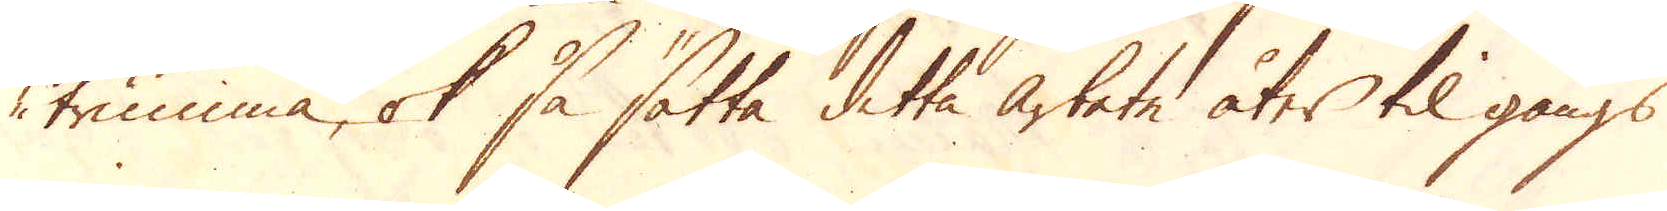trumma, ok så sätta detta arbete åter til gångs
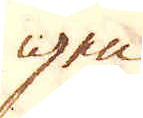igen.
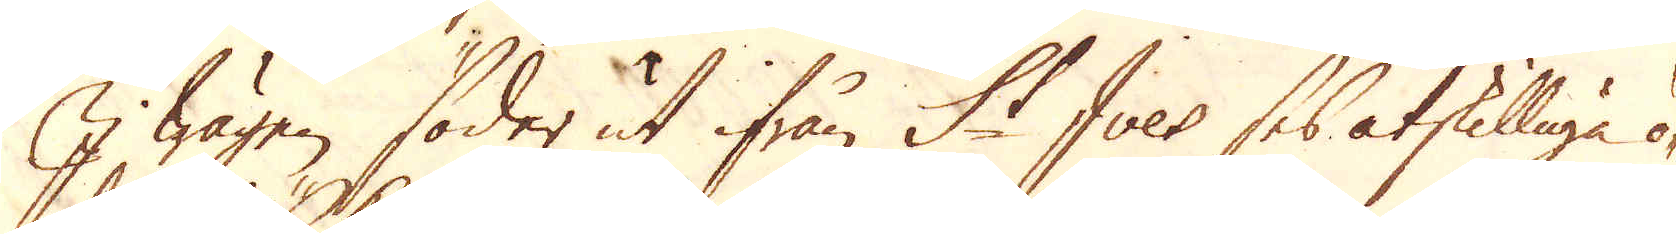I wägen söder ut ifrån St Ives ses åtskilliga ö-
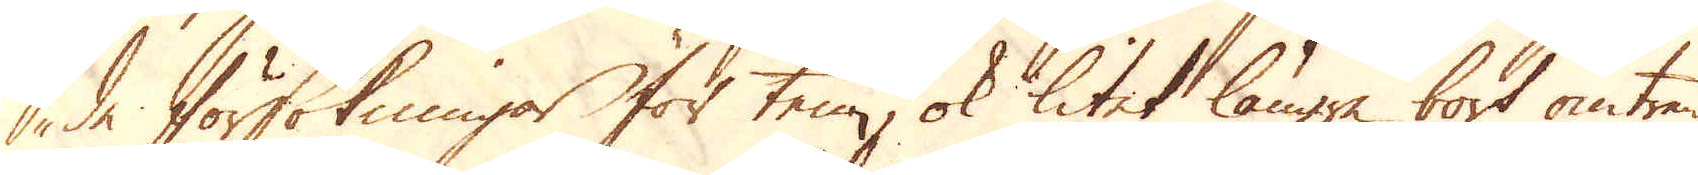de försökningar för tenn, ok litet längre bort omtrent
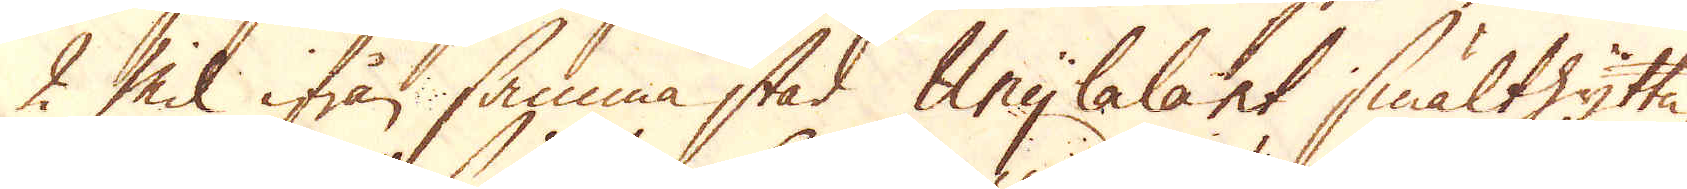2 Mil ifrån samma stad Anylalant smälthytta,
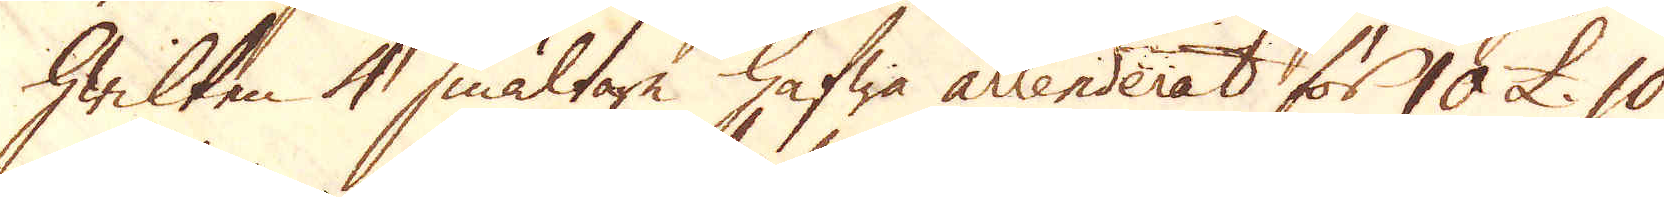hwilken 4 smältare hafwa arrenderat för 10 £. 10
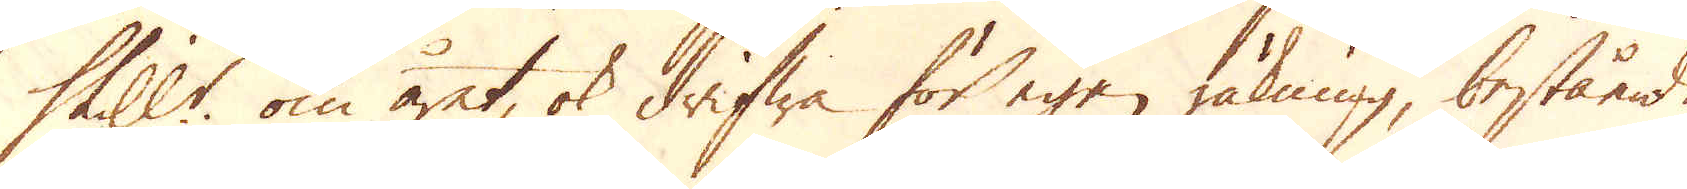Skill:r om året, ok drifwa för egen räkning, bestående
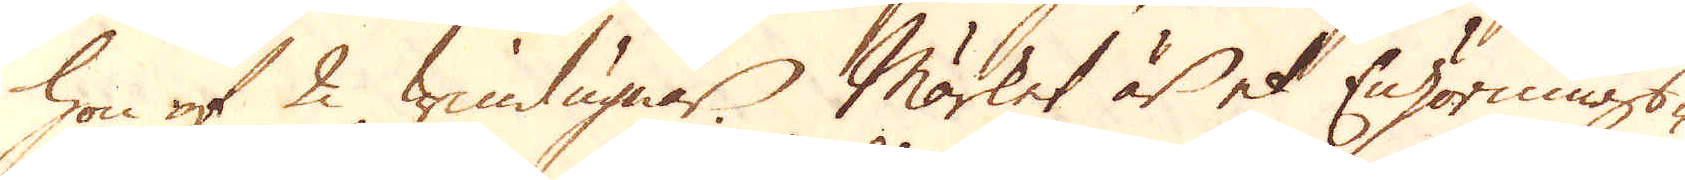hon af 2 windugnar. Märket är et Enhörnings-
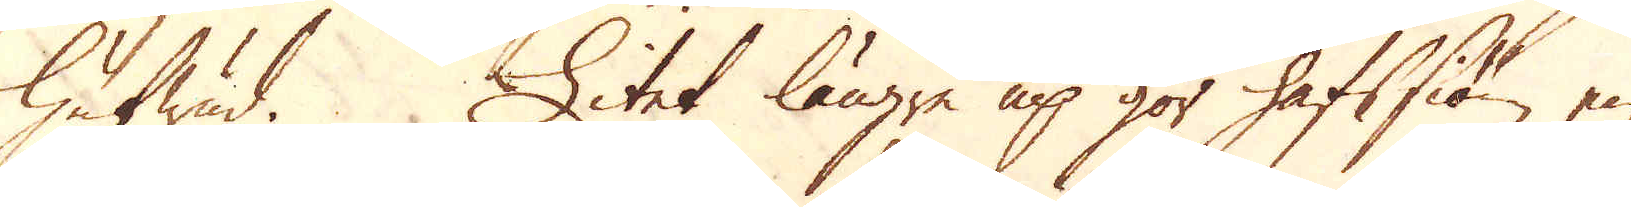hufwud. Litet längre up gör hafssiön en
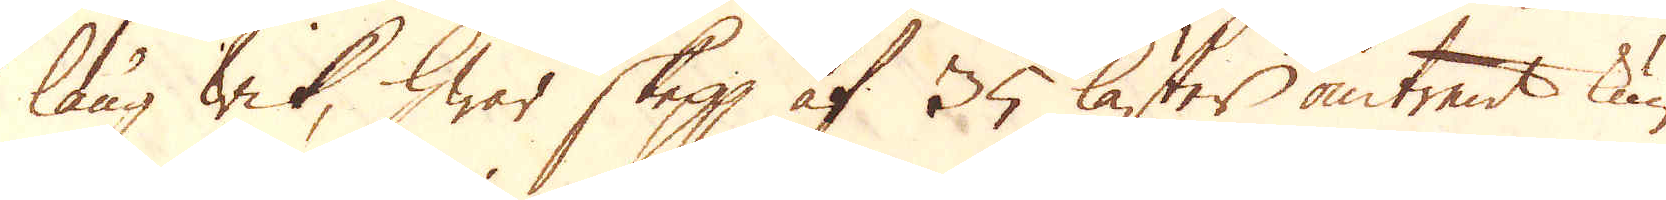lång wik, hwar skepp af 35 läster omtrent kun-
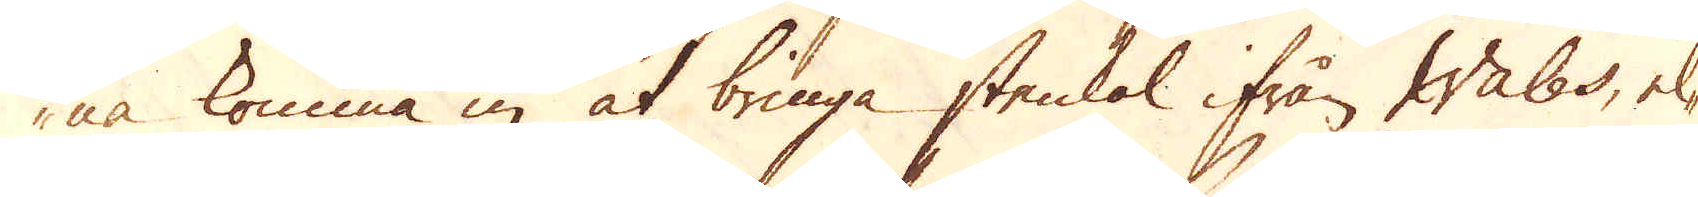na komma in at bringa stenkol ifrån Wales, el-
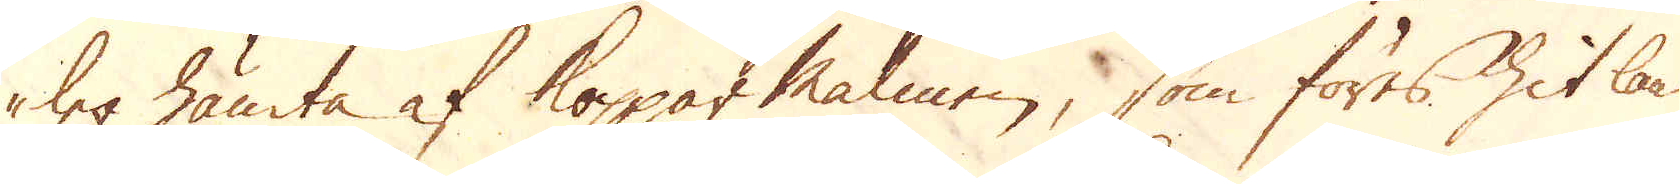ler hämta af Kopparmalmen, som föres hit land-
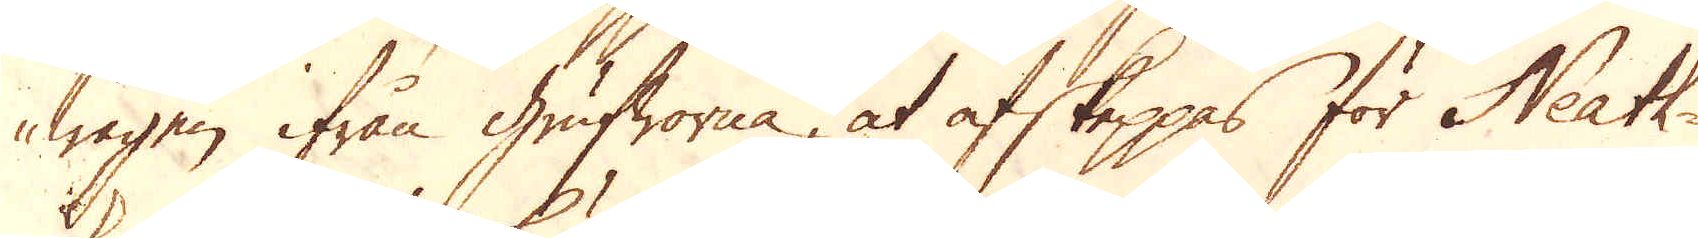wägen ifrån Grufworna, at afskeppas för Neath-
